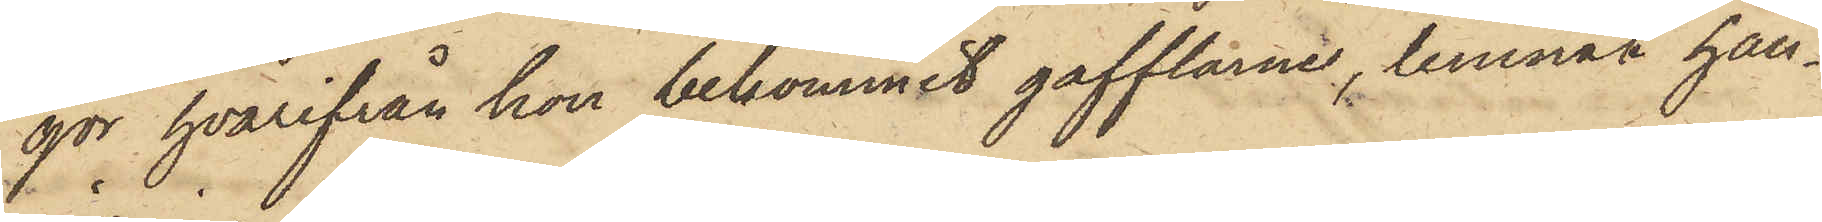gor hvarifrån hon bekommit gafflarne, lemnat hän¬
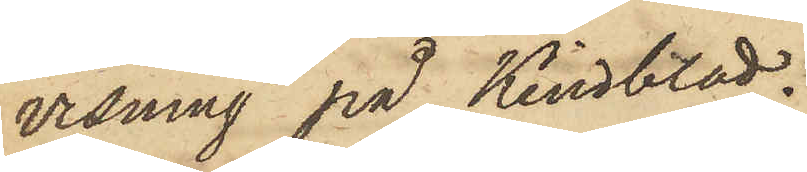visning på Kindblad.
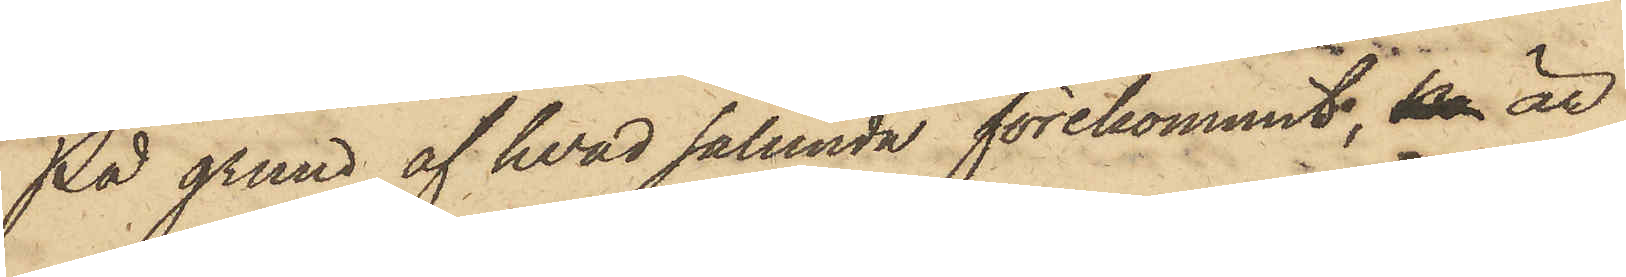På grund af hvad sålunda förekommit, ko är
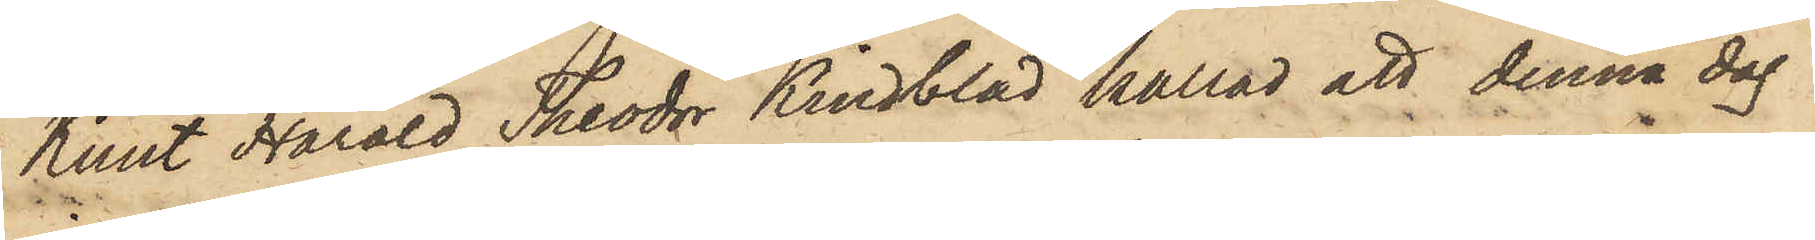Knut Harald Theodor Kindblad kallad att denna dag
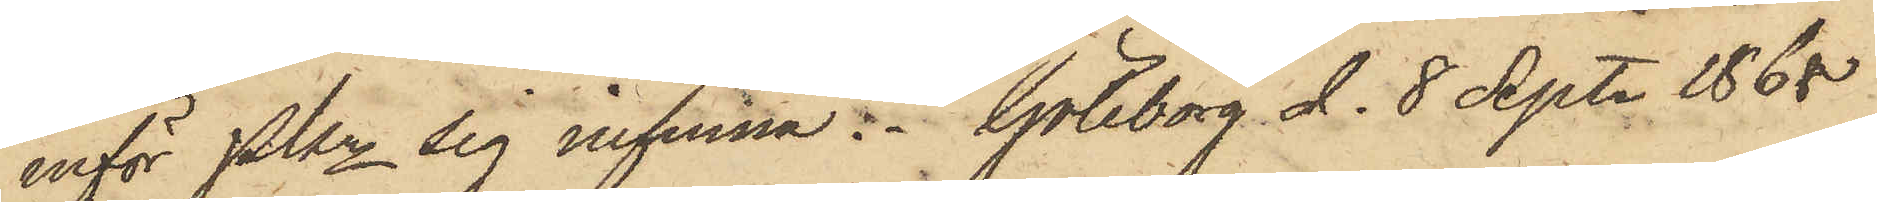inför PKn sig infinna. Göteborg d. 8 Sept. 1868
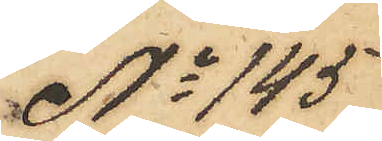No 145
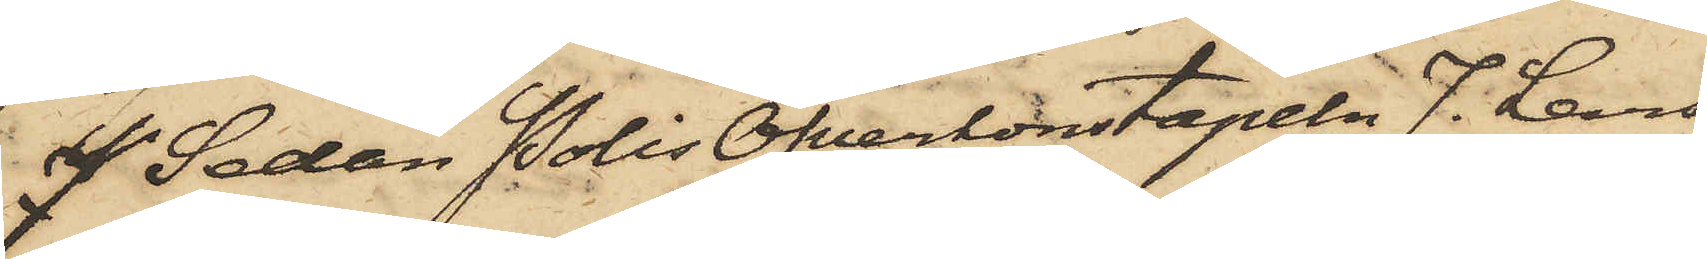J. Sedan PolisÖfverkonstapeln J. Lars¬
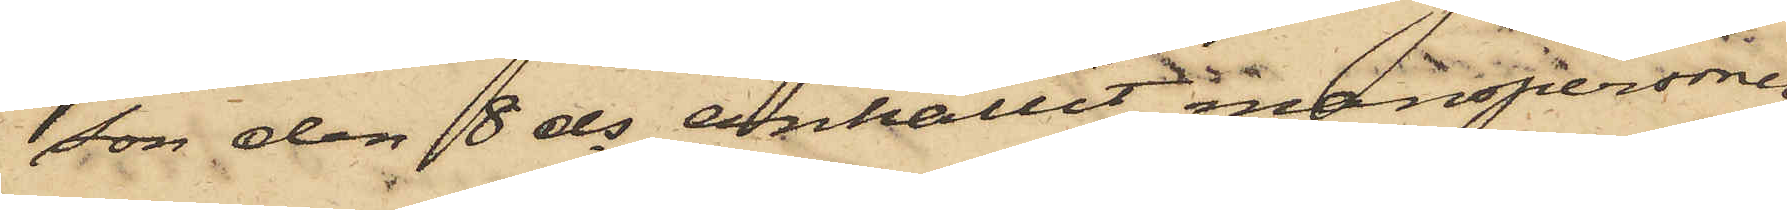son den 8 ds anhållit manspersonen
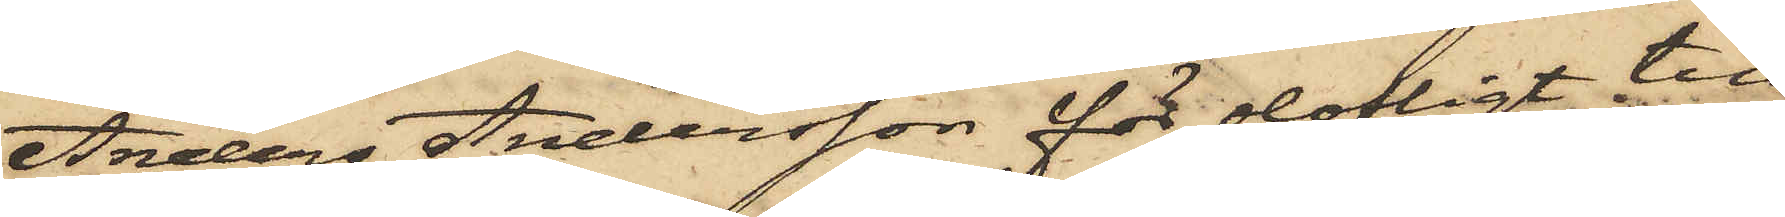Anders Andersson för olofligt till
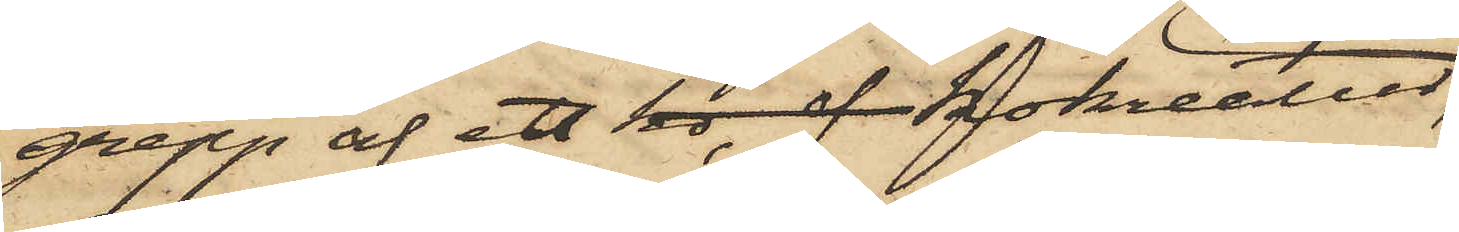grepp af ett ko f  kokreatur,
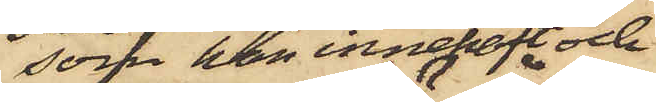som han innehaft och
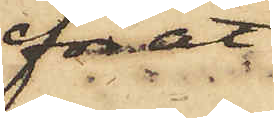för åt¬
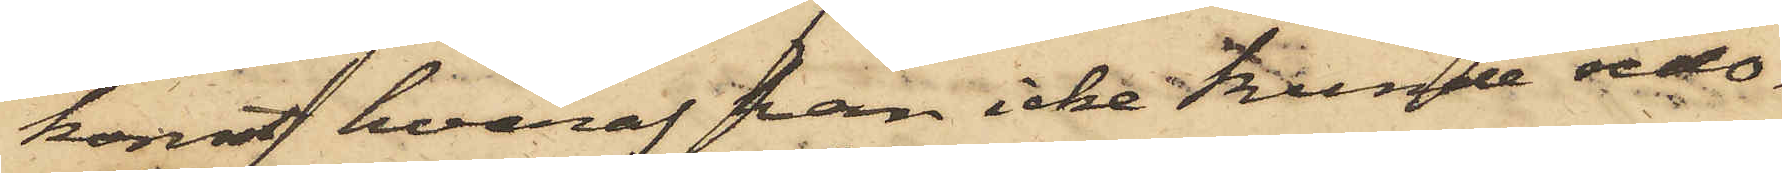komst hvaraf han icke kunde redo¬
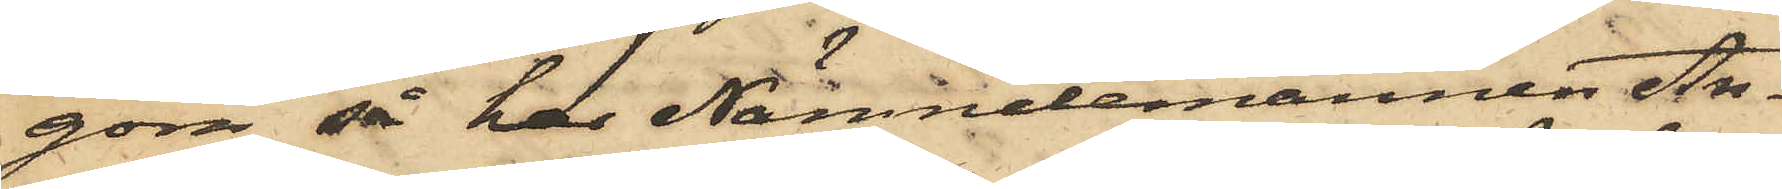göra, så har Nämndemannen An¬
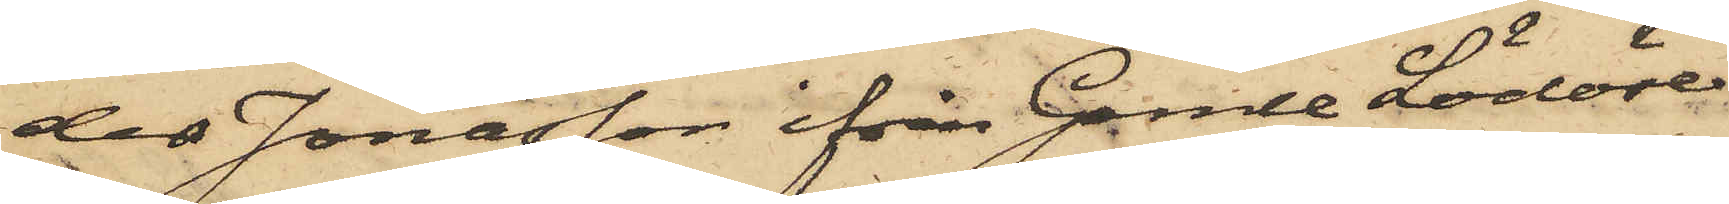ders Jonasson ifrån Gamle Lödöse
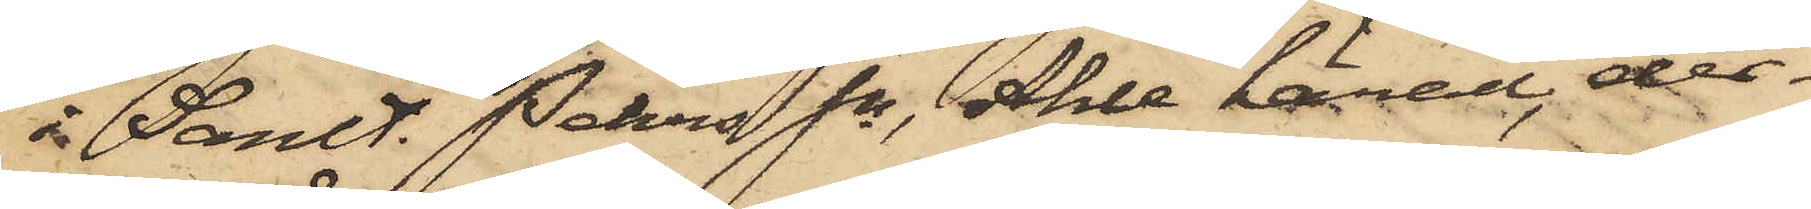i Sanlt. Pehrs Sn, Ahle härad, der¬
